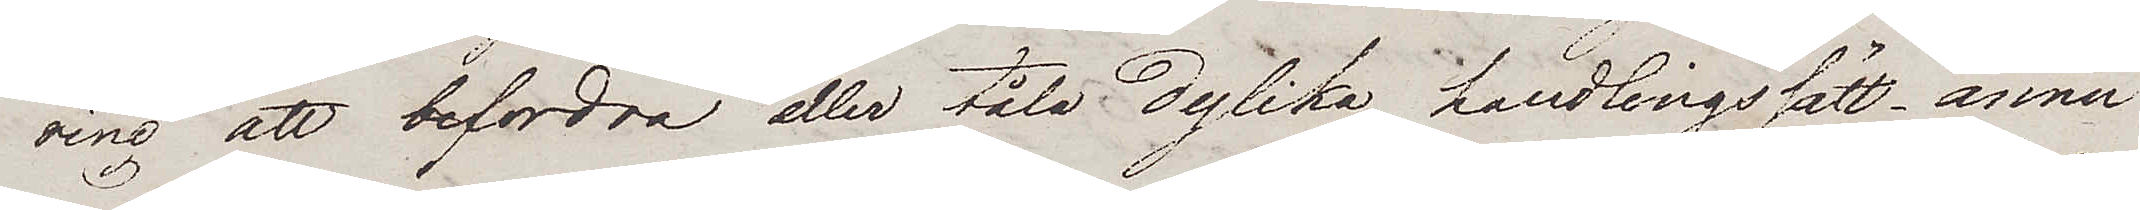ring att befordra eller tåla dylika handlingssätt, ännu
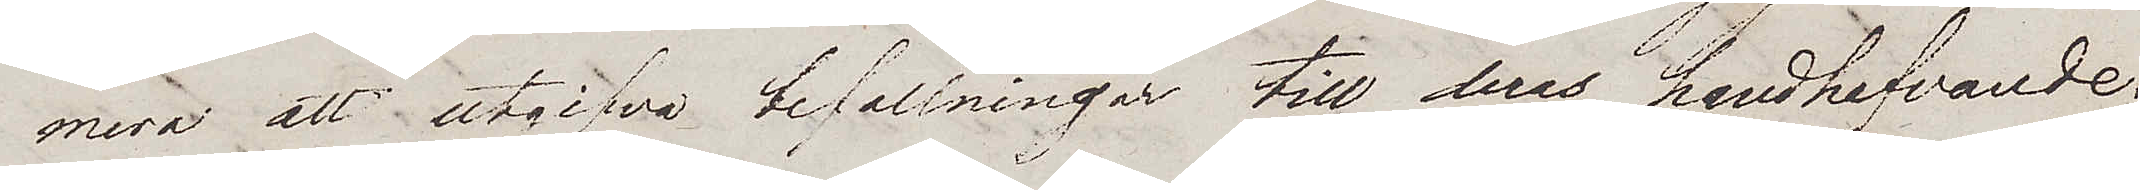mera att utgifva befallningar till deras handhafvande.
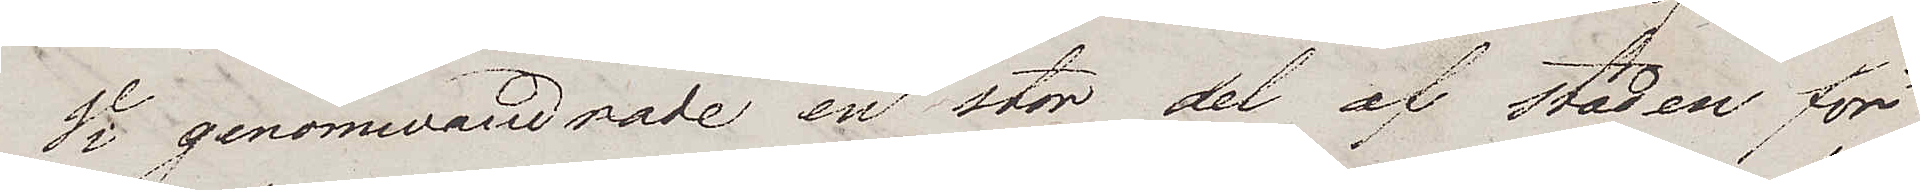Vi genomwandrade en stor del af staden för
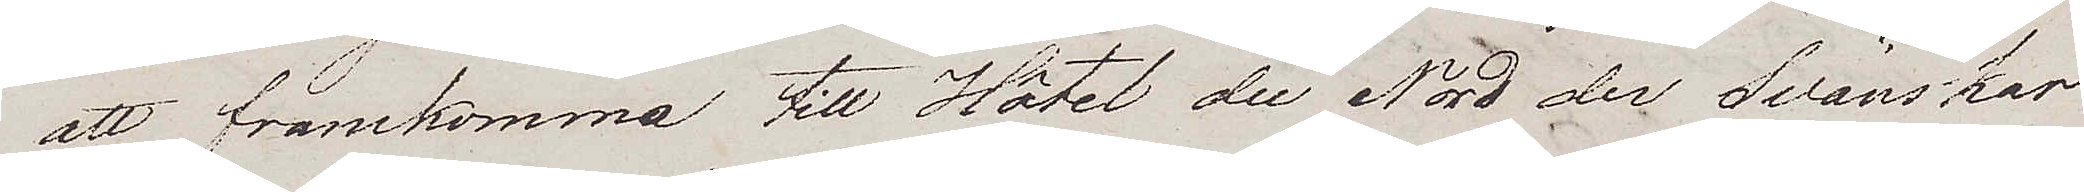att framkomma till Hôtel du Nord der Svänskar
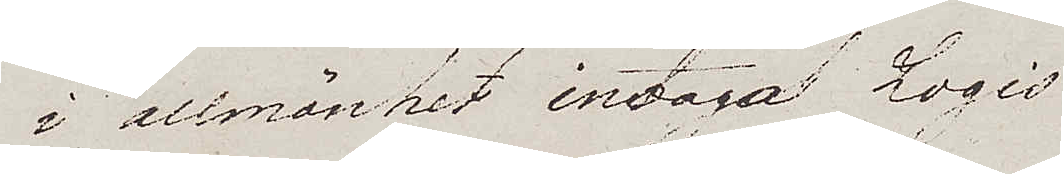i allmänhet intaga Logis
